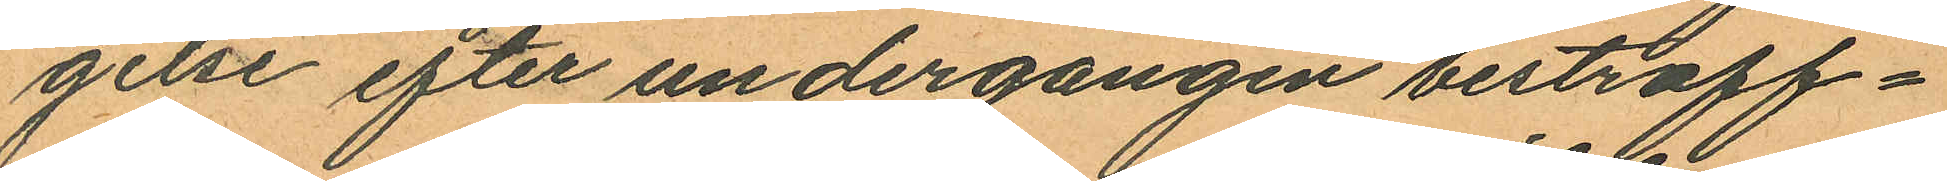gelse efter undergången bestraff¬
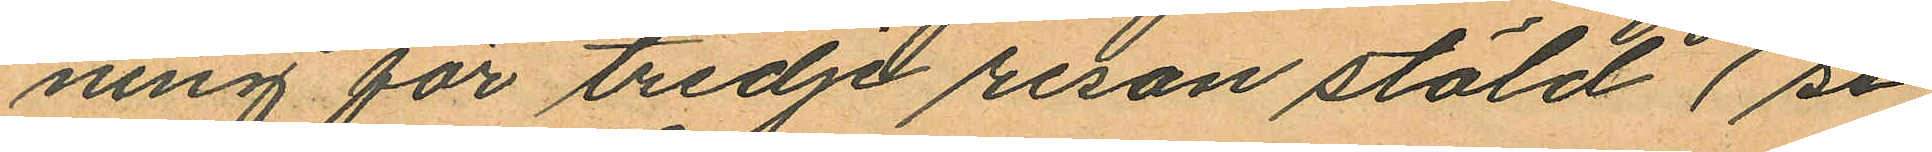ning för tredje resan stöld (se
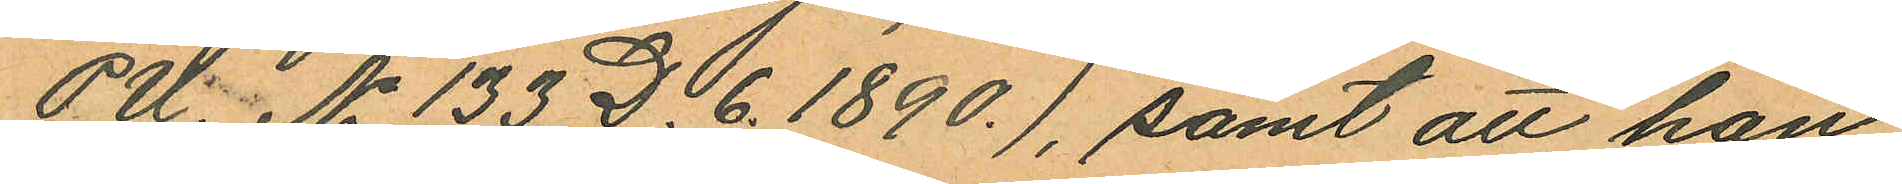PU. No 133 D. 6. 1890.), samt att han
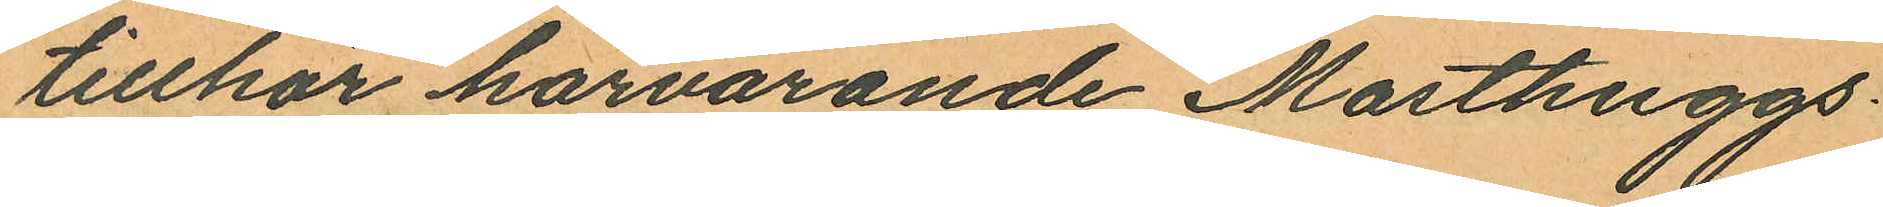tillhör härvarande Masthuggs¬
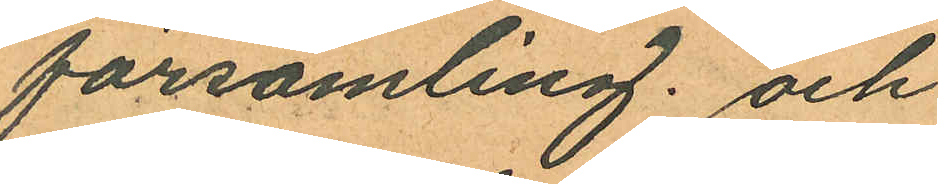församling. och
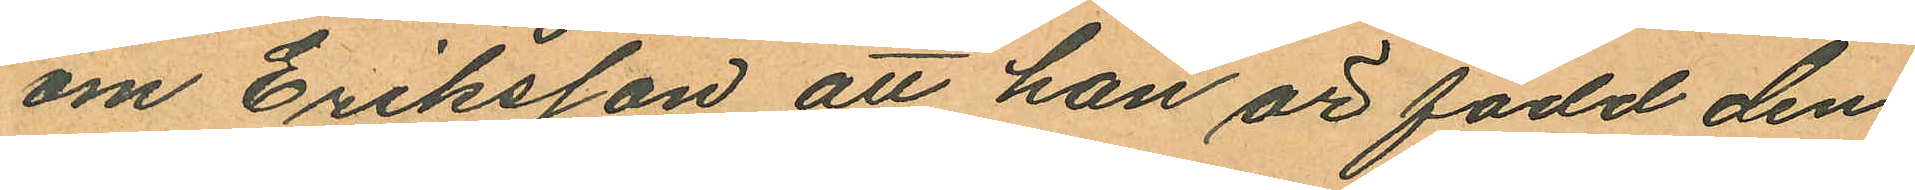om Eriksson att han är född den
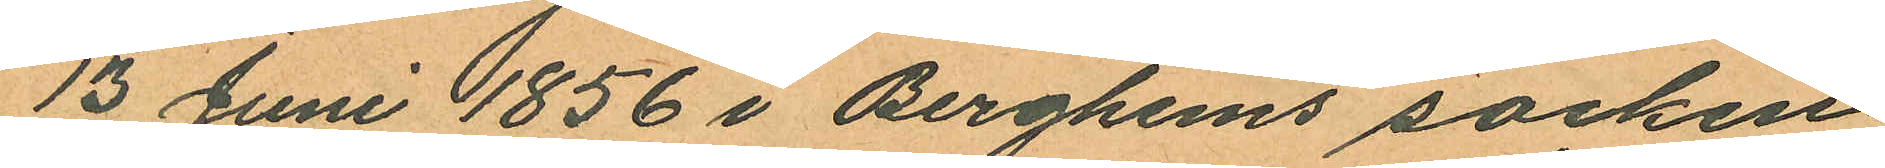13 Juni 1856 i Berghems socken
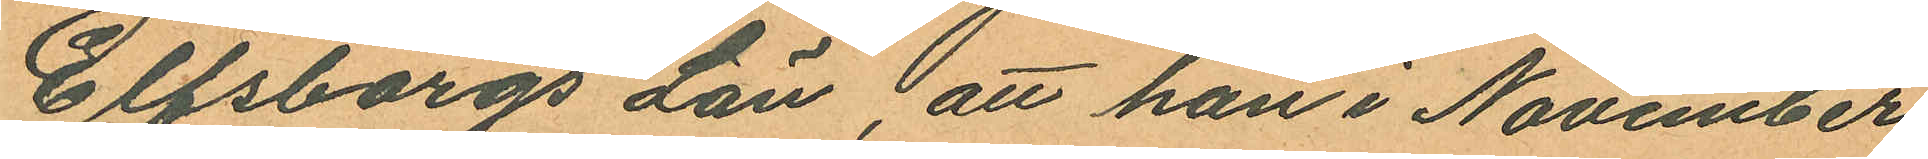Elfsborgs Län att han i November
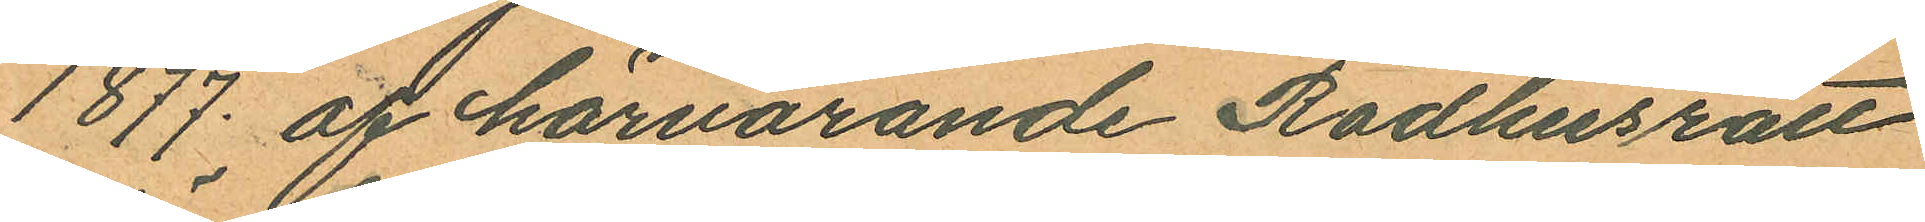1877 af härvarande Rådhusrätt
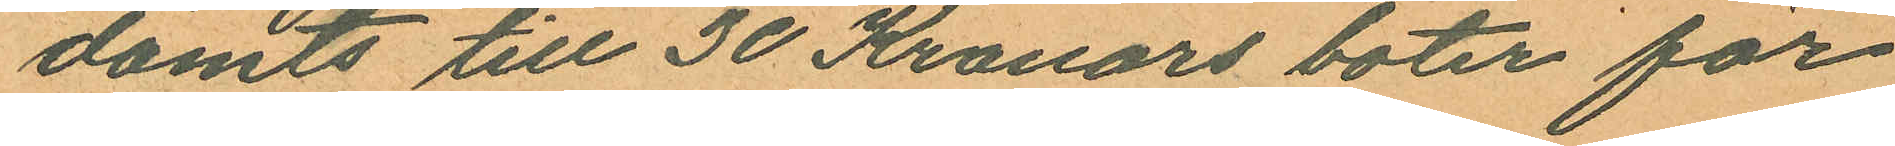dömts till 30 Kronors böter för
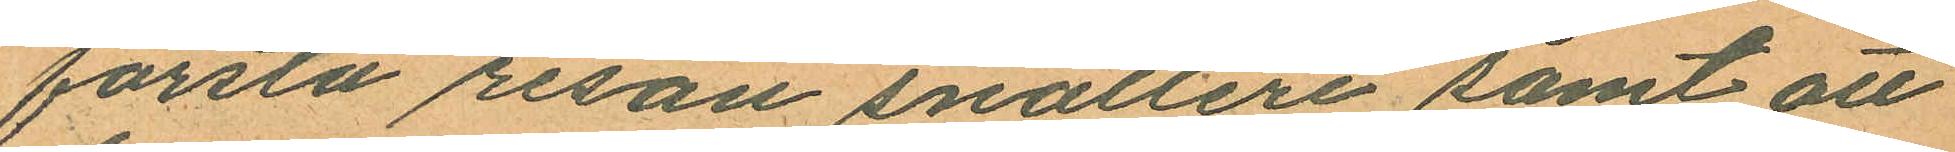första resan snatteri, samt att
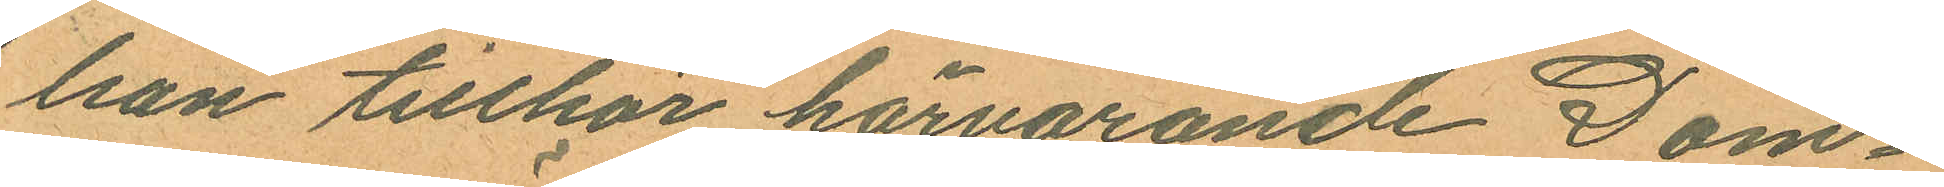han tillhör härvarande Dom¬
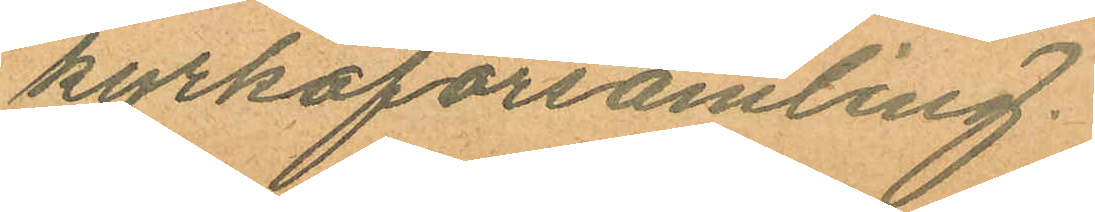kyrkoförsamling.
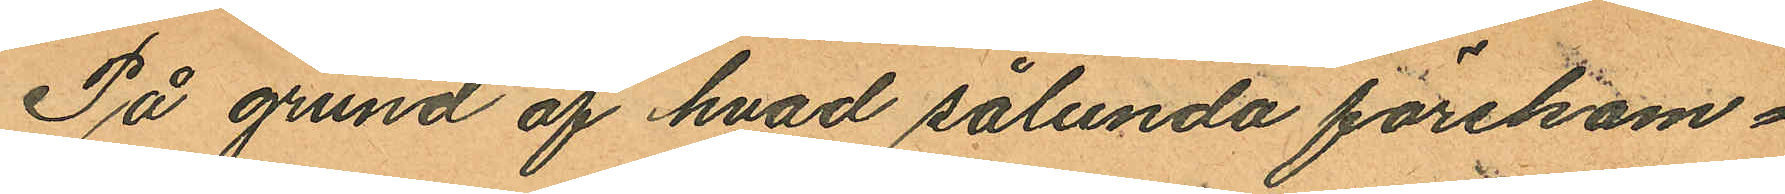På grund af hvad sålunda förekom¬
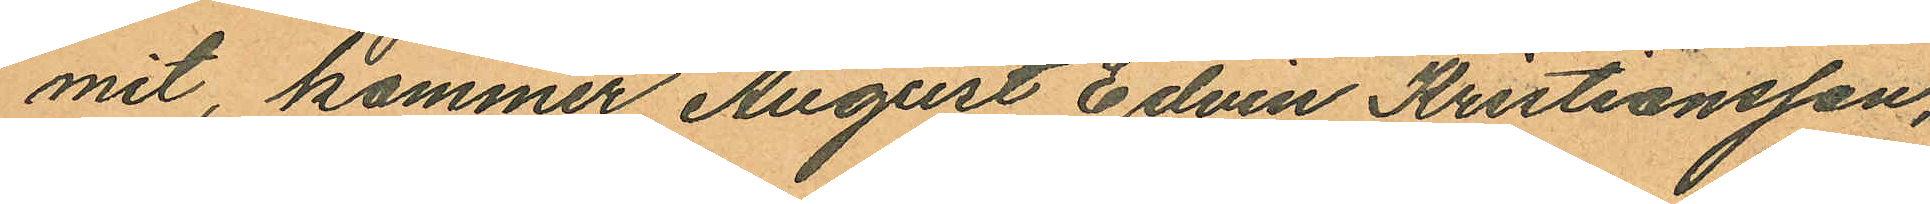mit, kommer August Edvin Kristiansson,
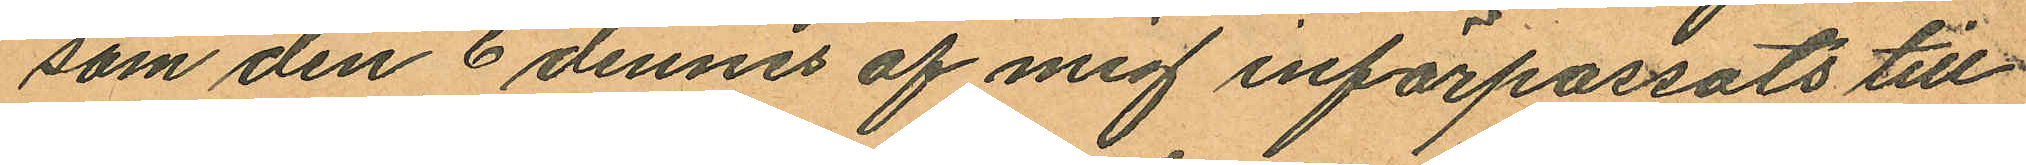som den 6 dennes af mig införpassats till
